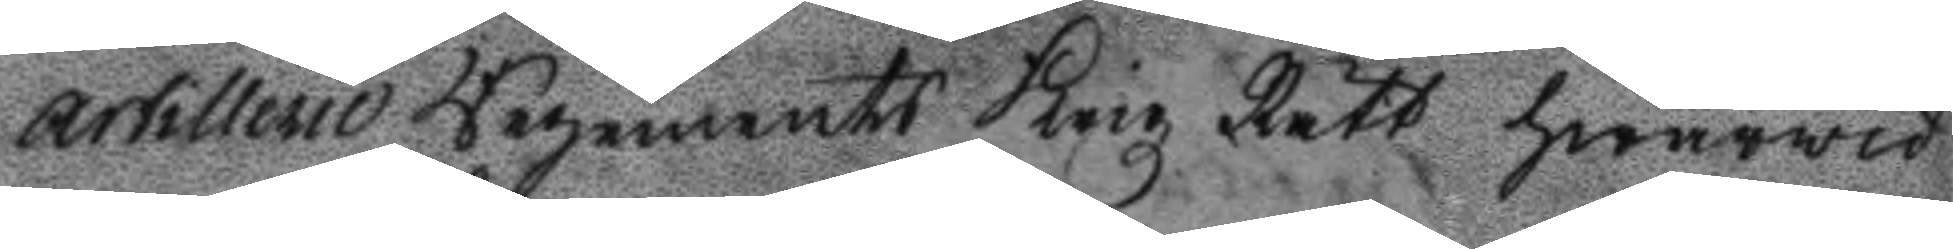Artillerie Regements Krigz Rätt hwarwid
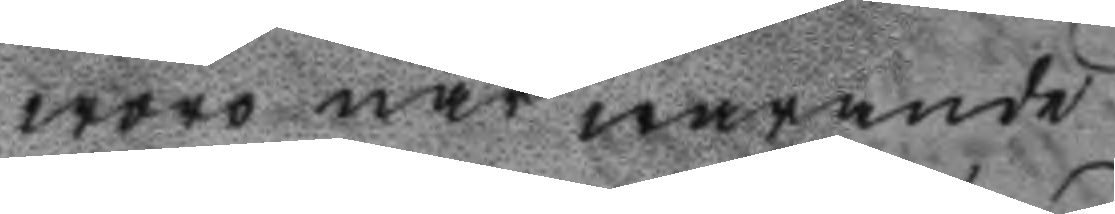woro när warande
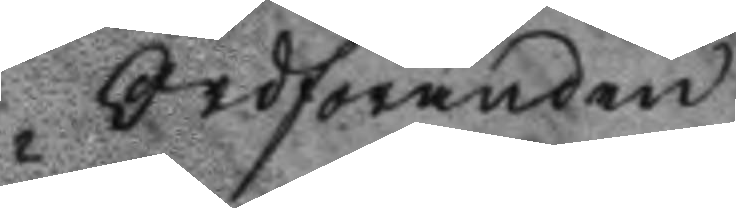Ordföranden
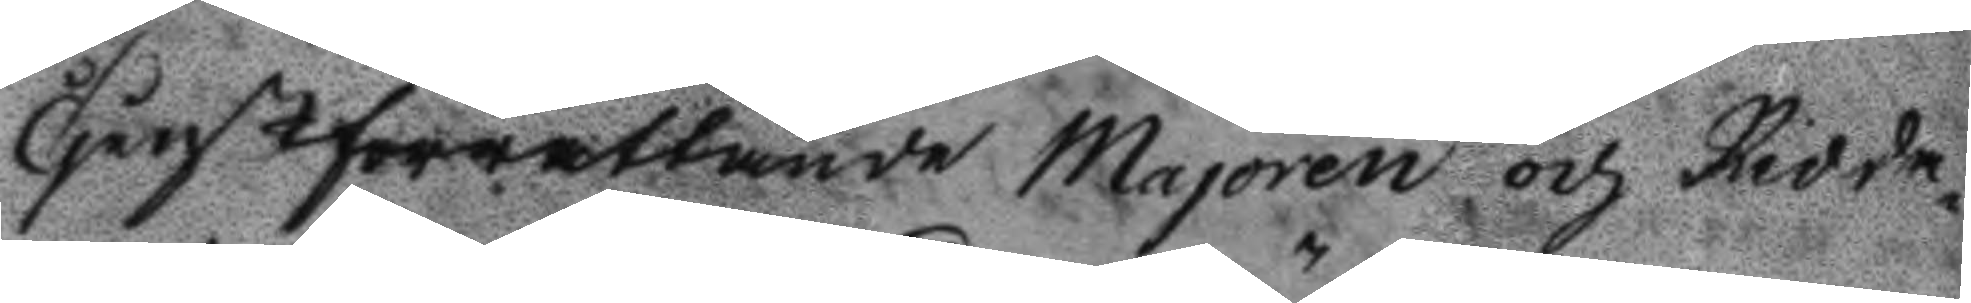Tjänstförrättande Majoren och Ridda¬
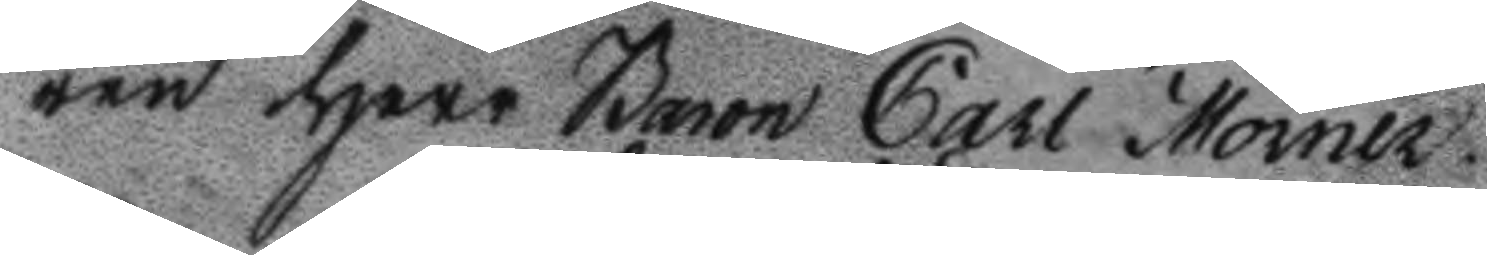ren Herr Baron Carl Mörner.
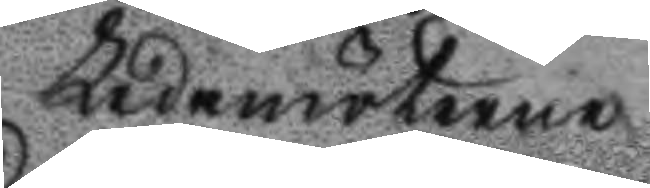Ledamöterne
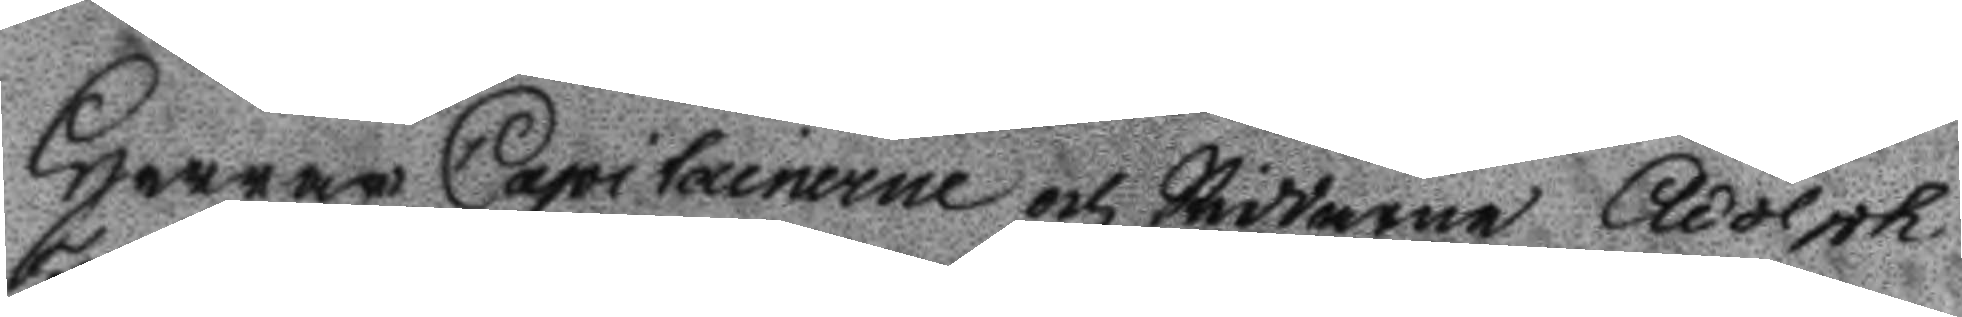Herrar Capitainerne och Riddarne Adolph
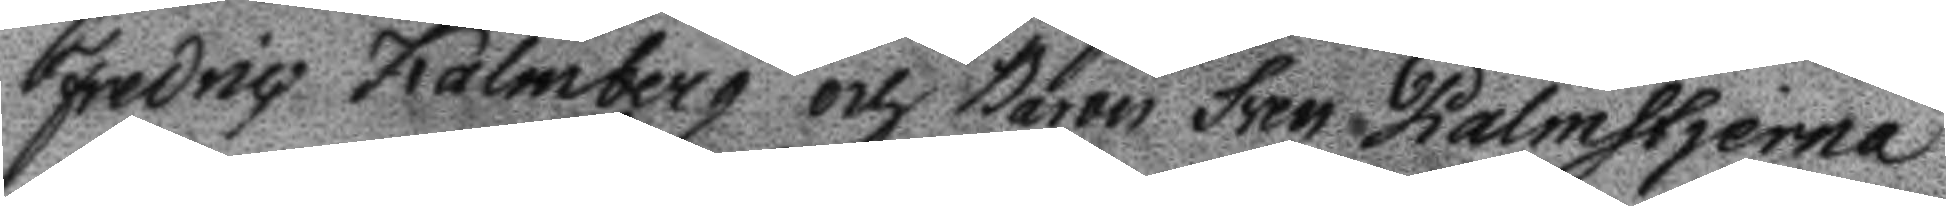Fredric Kalmberg och Baron Sven Palmstjerna
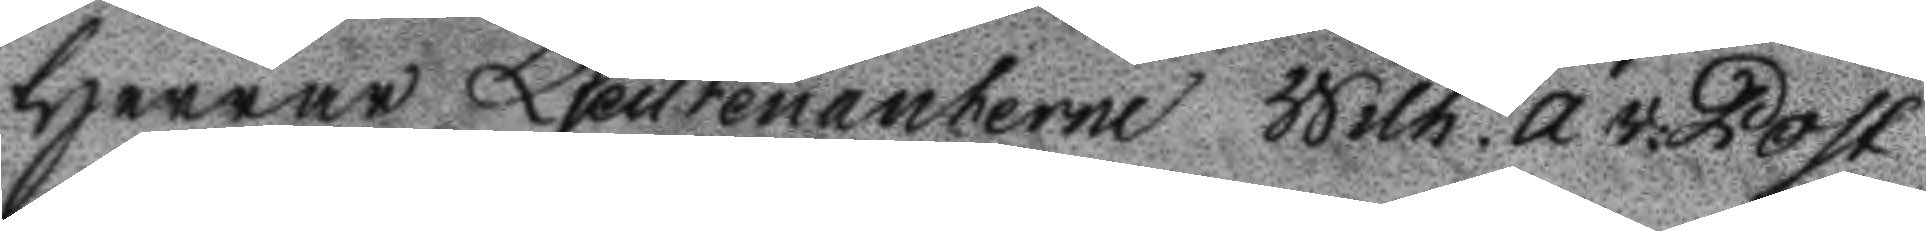Herrar Ljeutenanterne Wilh. A v: Post
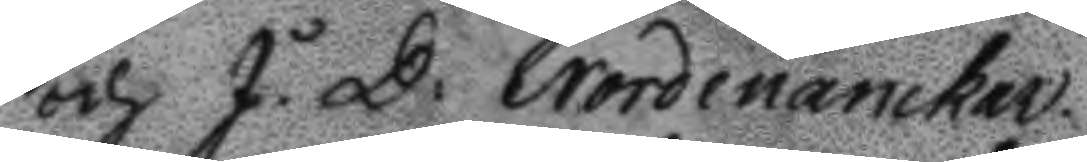och J. D: Nordenanckar.
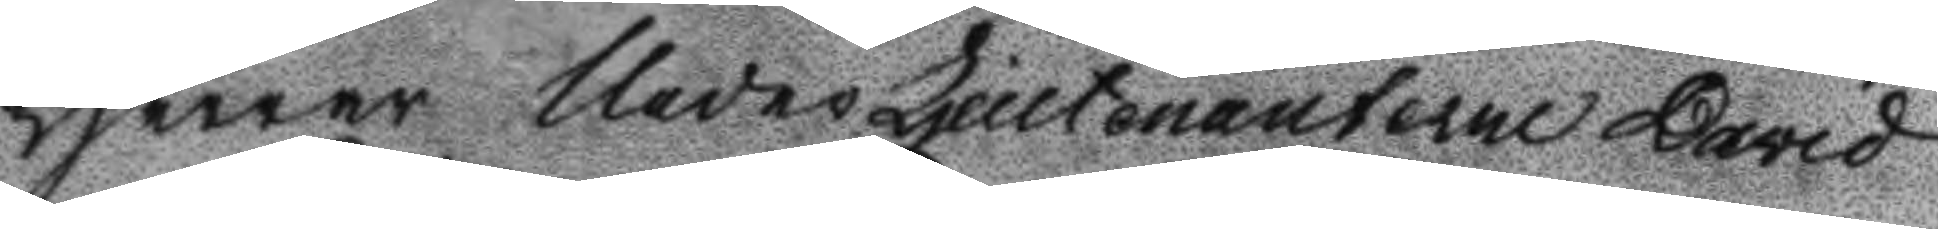Herrar UnderLjeutenanterne David
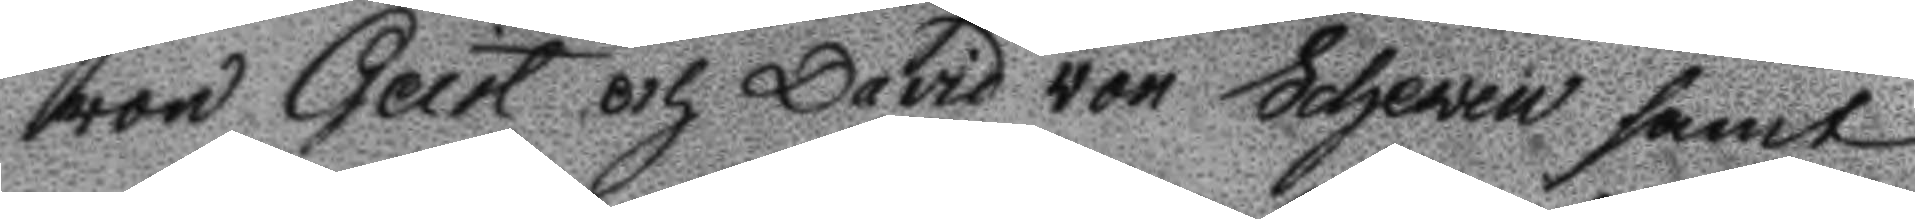von Gert och David von Scheven samt
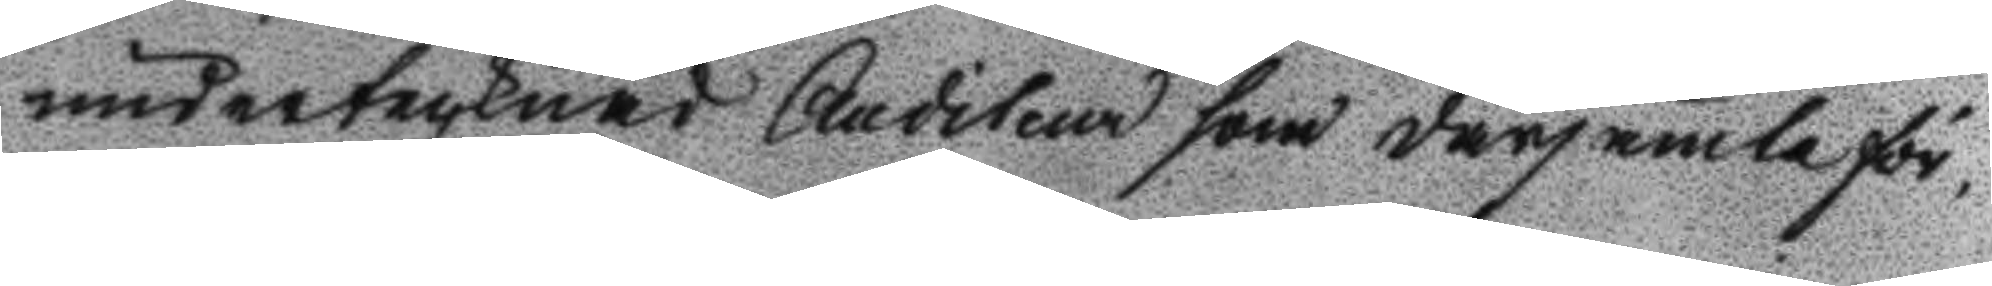undertecknad Auditeur som därjämte för¬
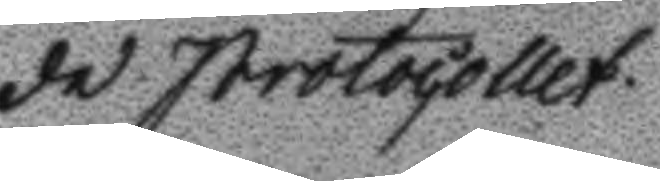de protocollet.
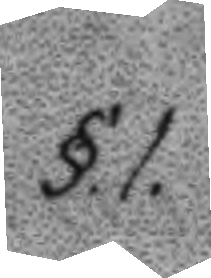§.1.
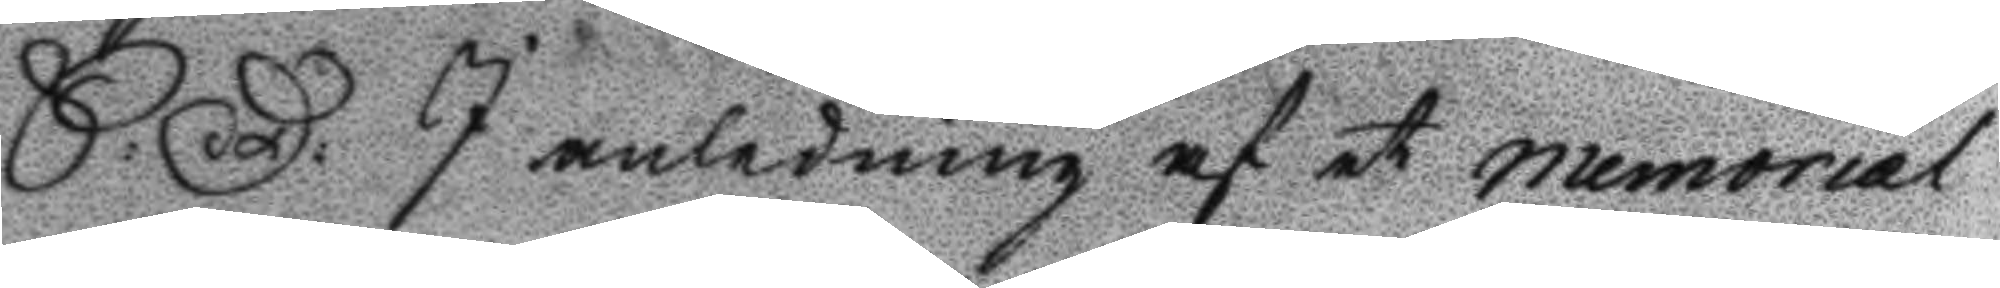S: D: I anledning af et memorial
